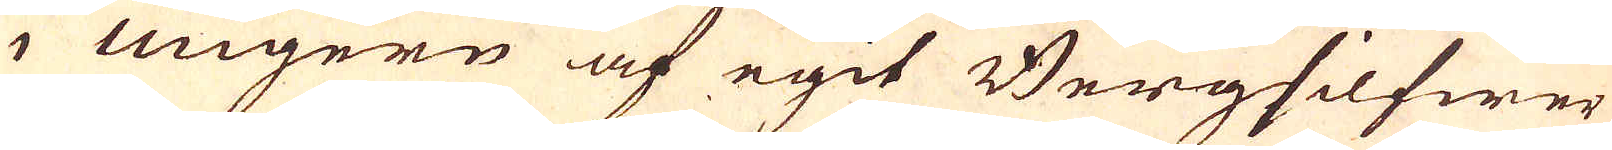i Ungern af egit Bergsilfwer
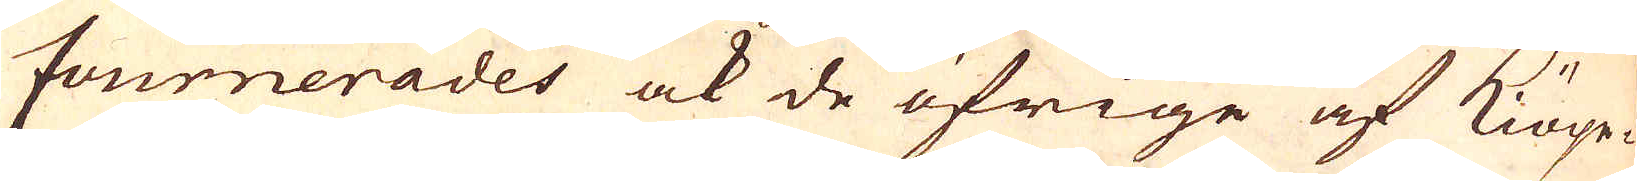fournerades ock de öfrige af Kiöpe-
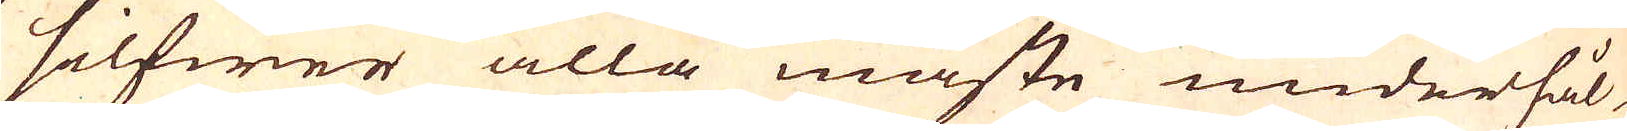silfwer alla måste underhål-
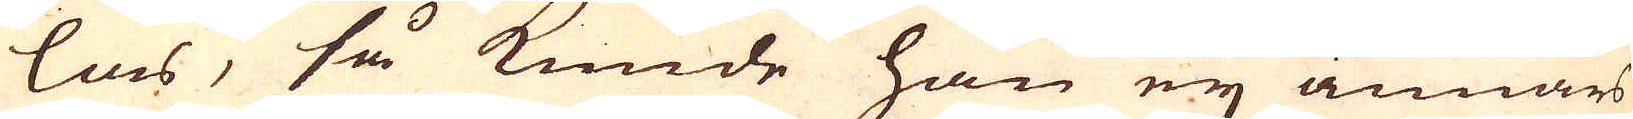las, så kunde han ej annars
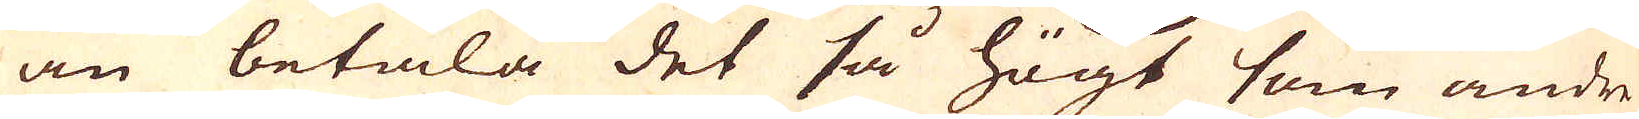än betala det så högt som andre
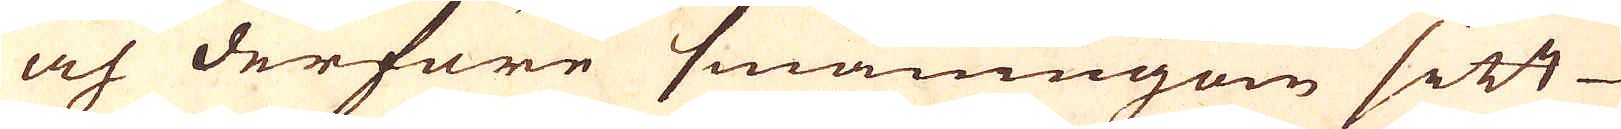och derföre småningom sitt
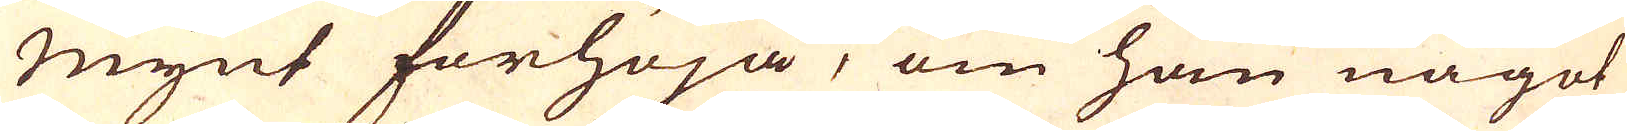Mynt förhöja, om han något
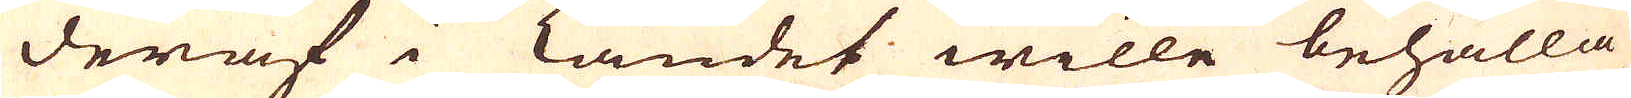deraf i Landet wille behålla
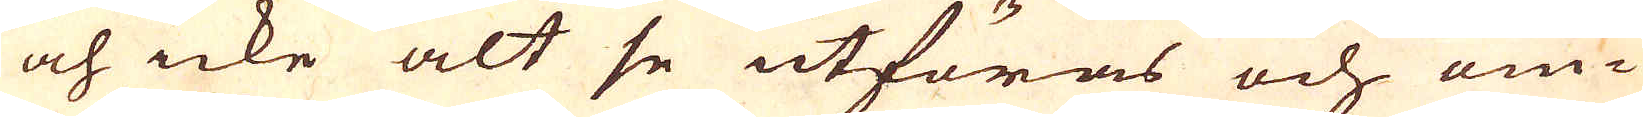och icke alt se utföras och om-
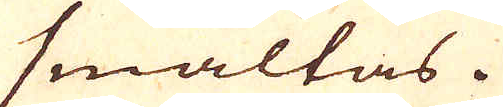smältas.
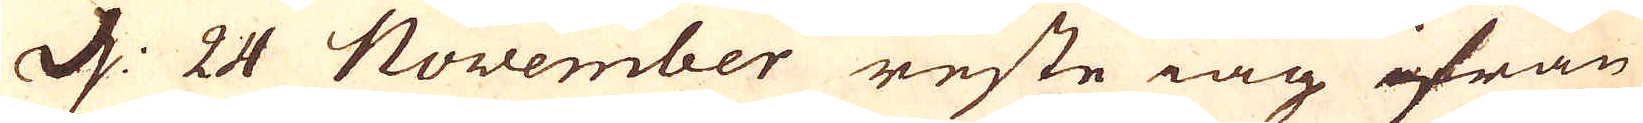d: 24 November reste iag ifrån
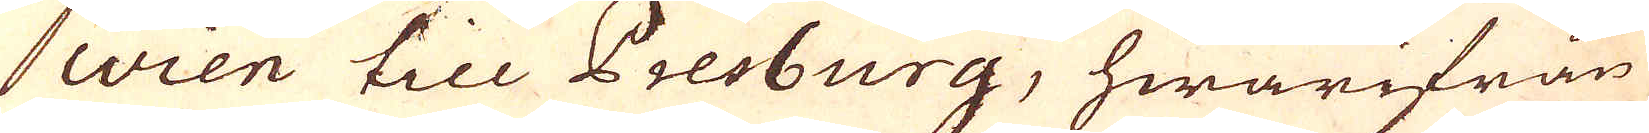Wien till Presburg, hwarifrån
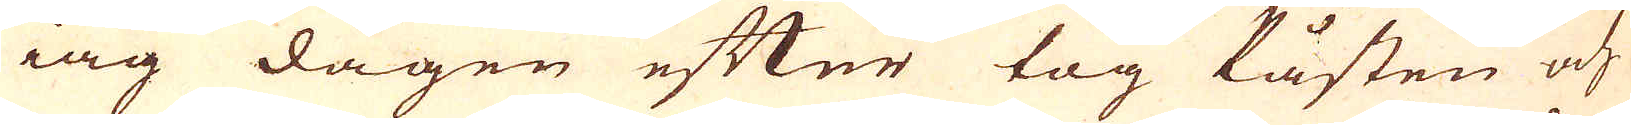iag dagen efter tog Påsten och
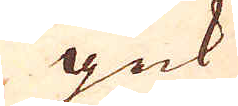gick
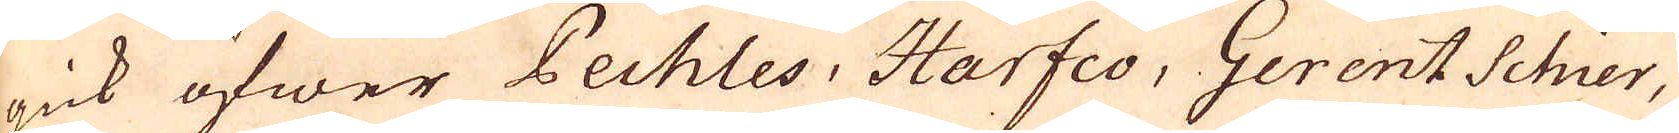gick öfwer Pechles, Harfeo, Gerent Schier,
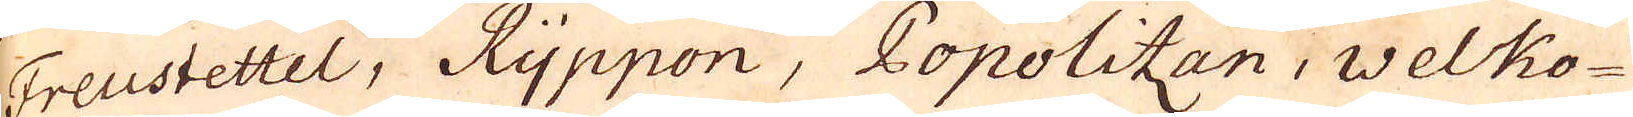Freustettel, Ryppon, Popolitzan, Welko-
